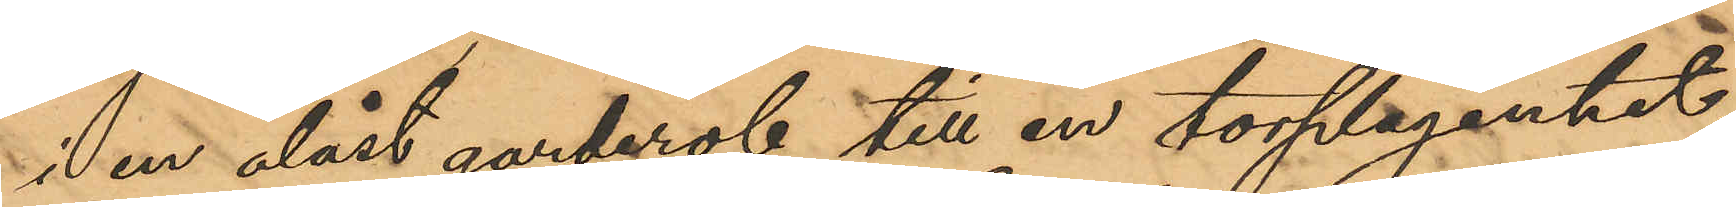i en olåst garderob till en torplägenhet,
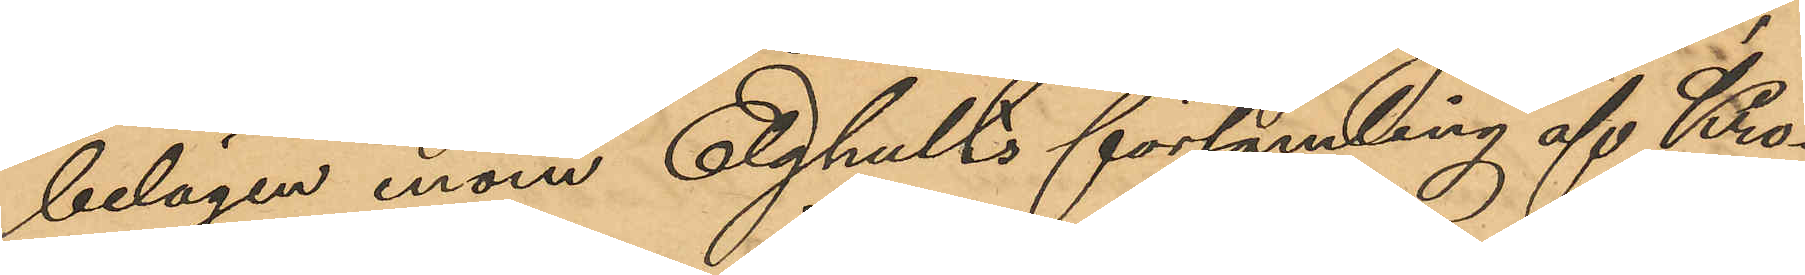belägen inom Elghults församling af Kro¬
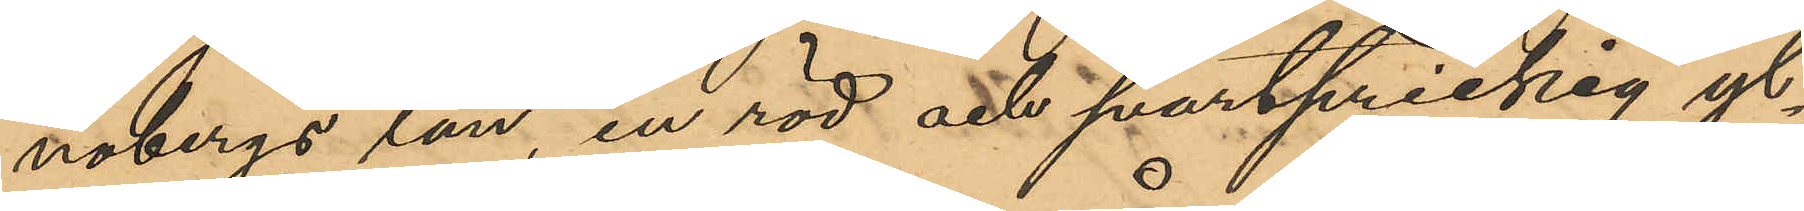nobergs län, en röd och svartprickig yl¬
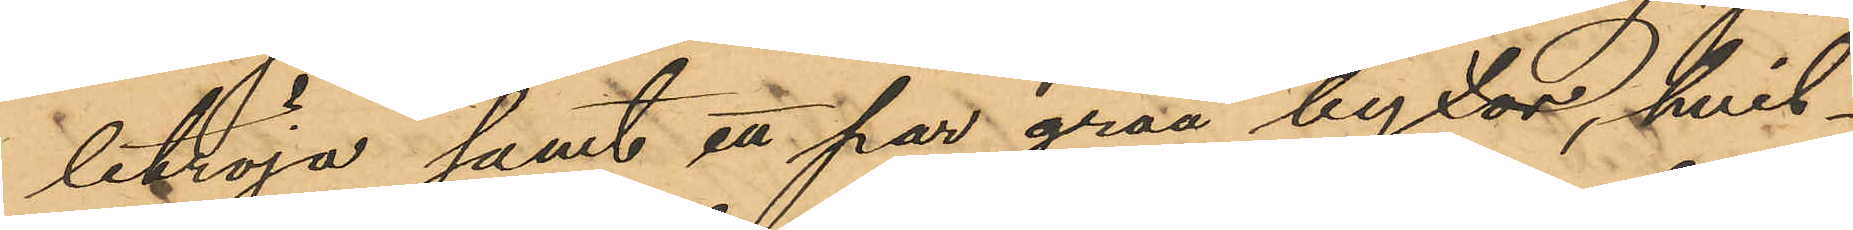letröja samt ett par gråa byxor, hvil¬
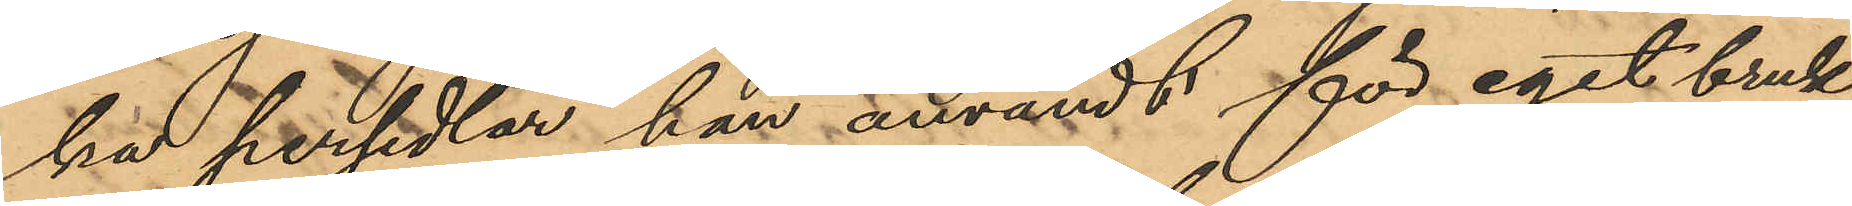ka persedlar han användt för eget bruk,
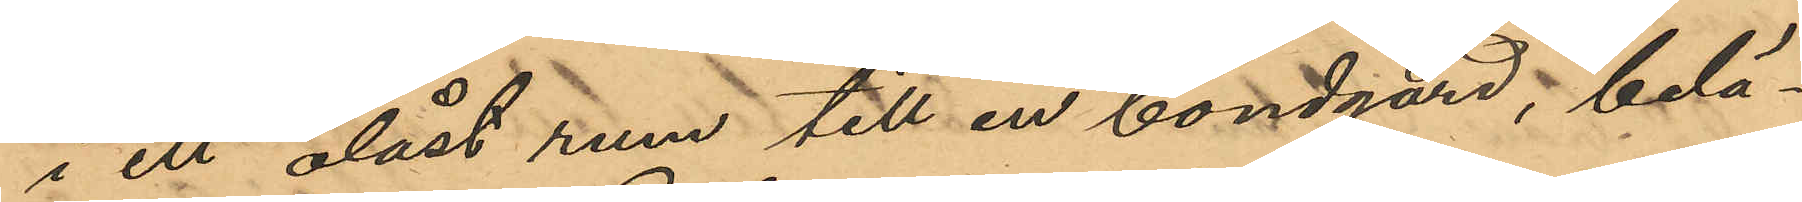i ett olåst rum till en bondgård, belä¬
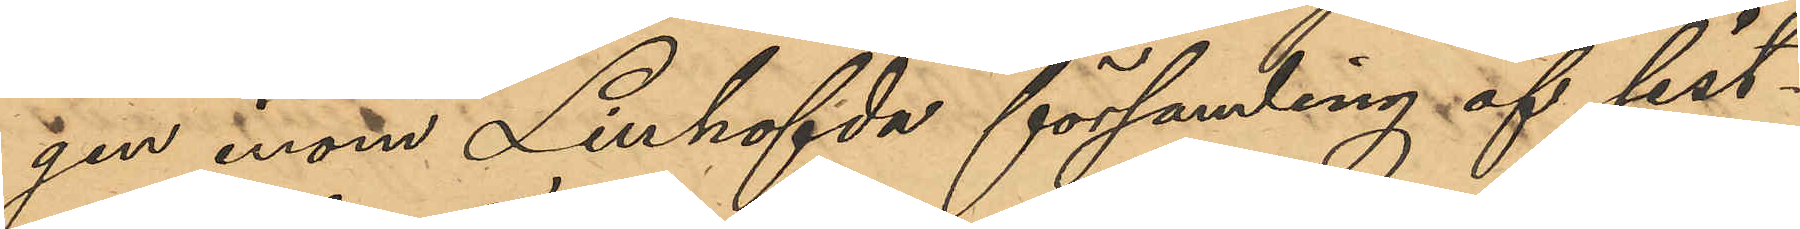gen inom Linhofda församling af sist¬
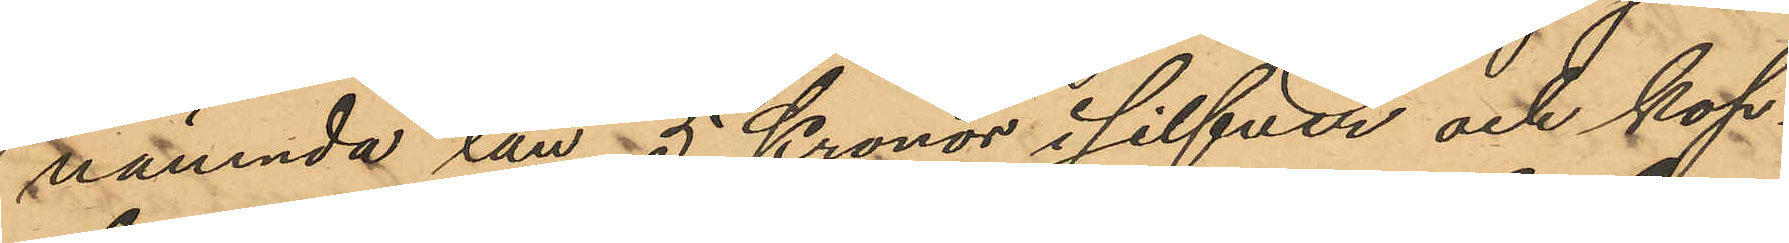nämnda län, 5 Kronor i silfver och kop¬
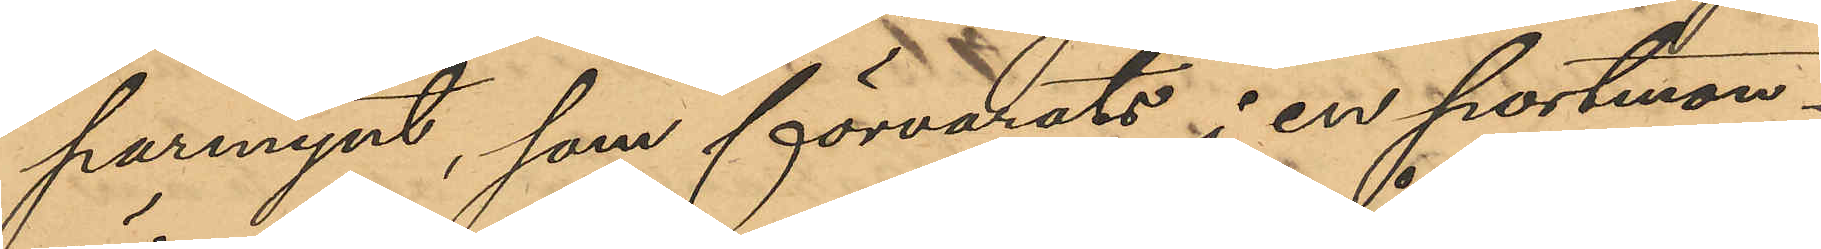parmynt, som förvarats i en portmon¬
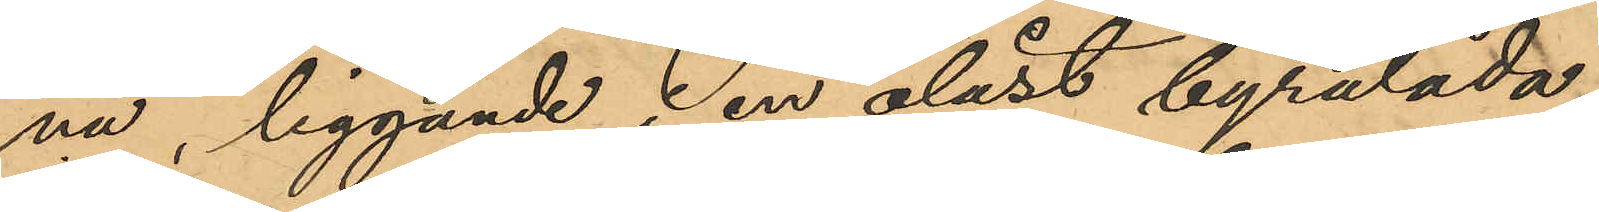nä, liggande i en olåst byrålåda,
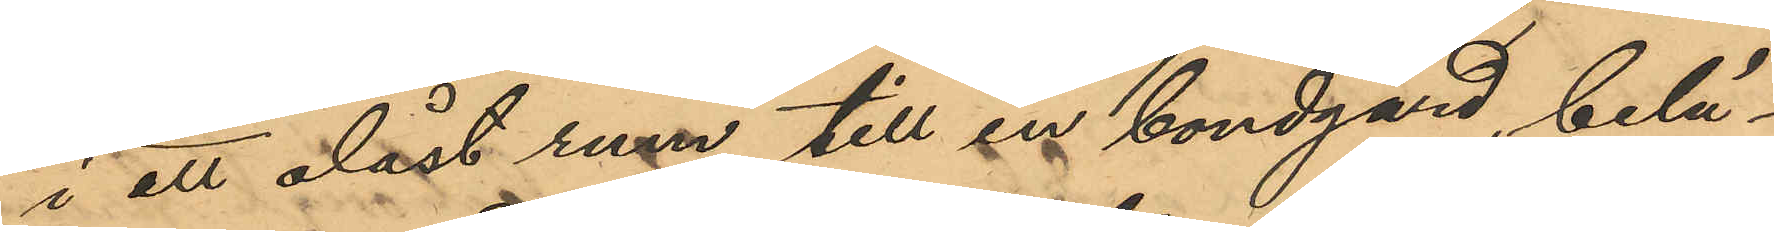i att olåst rum till en bondgård belä¬
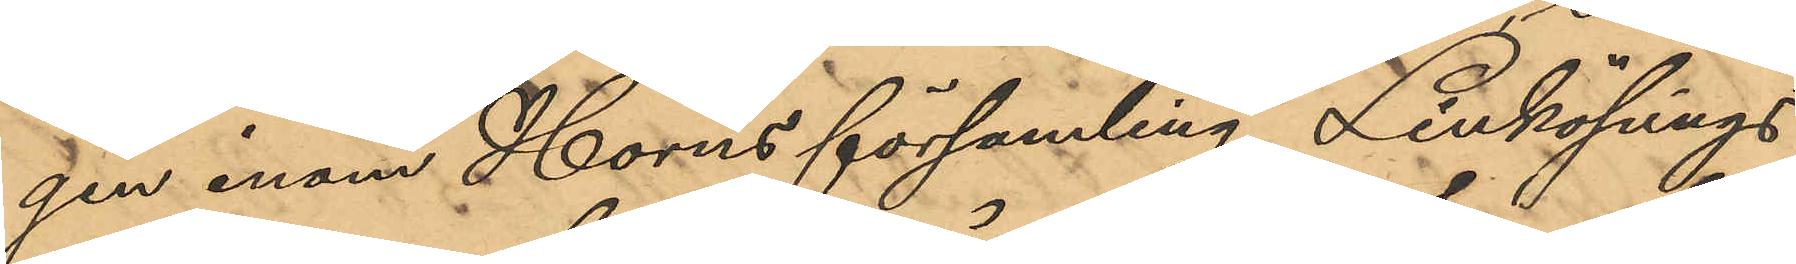gen inom Horns församling, Linköpings
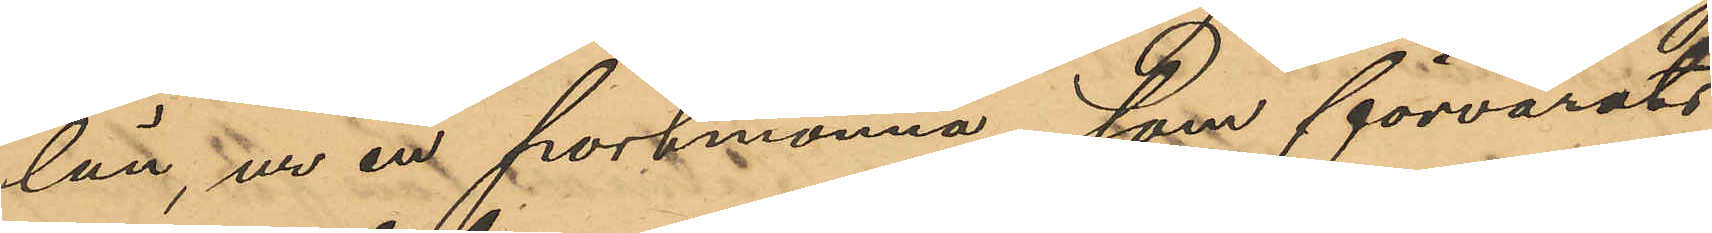län, ur en portmonnä, som förvarats
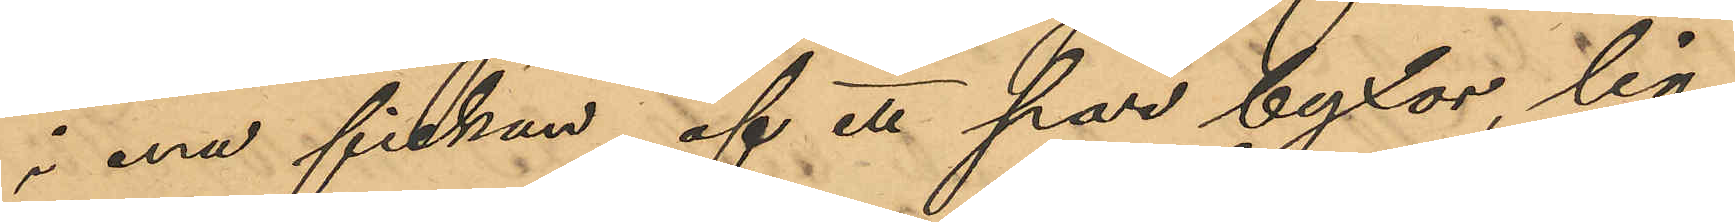i ena fickan af ett par byxor lig¬
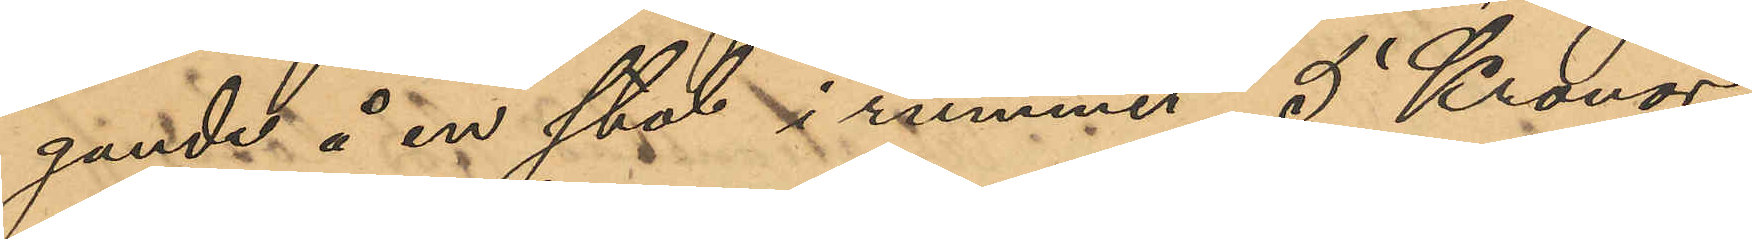gande å en stol i rummet 5 Kronor,
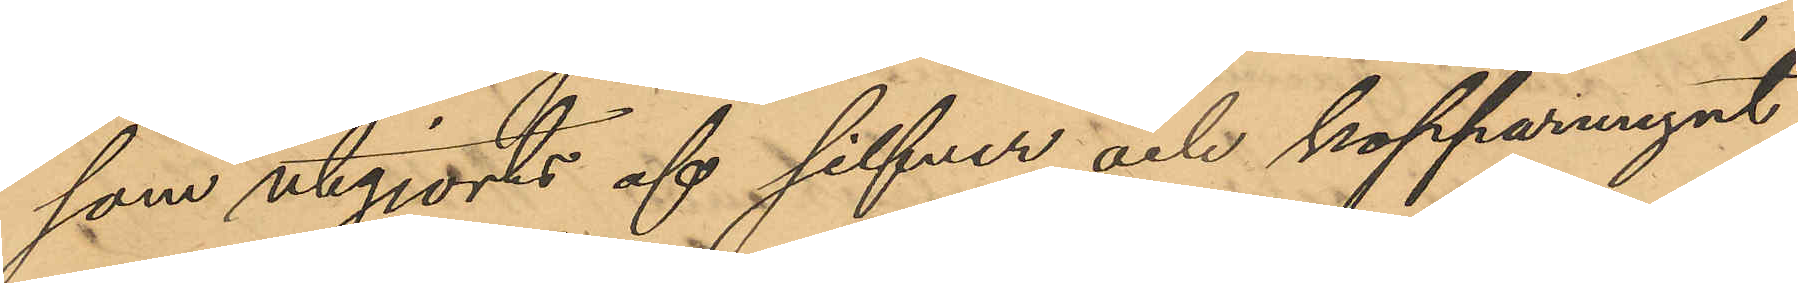som utgjorts af silfver och kopparmynt,
